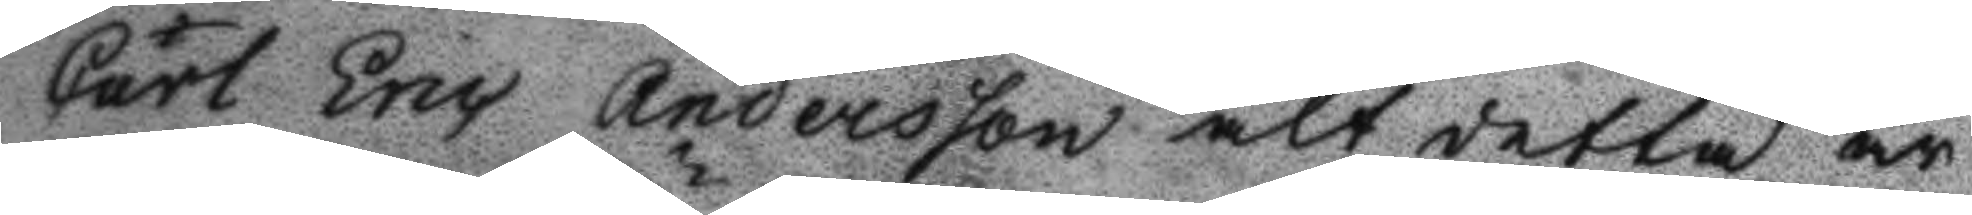Carl Eric Andersson alt detta är
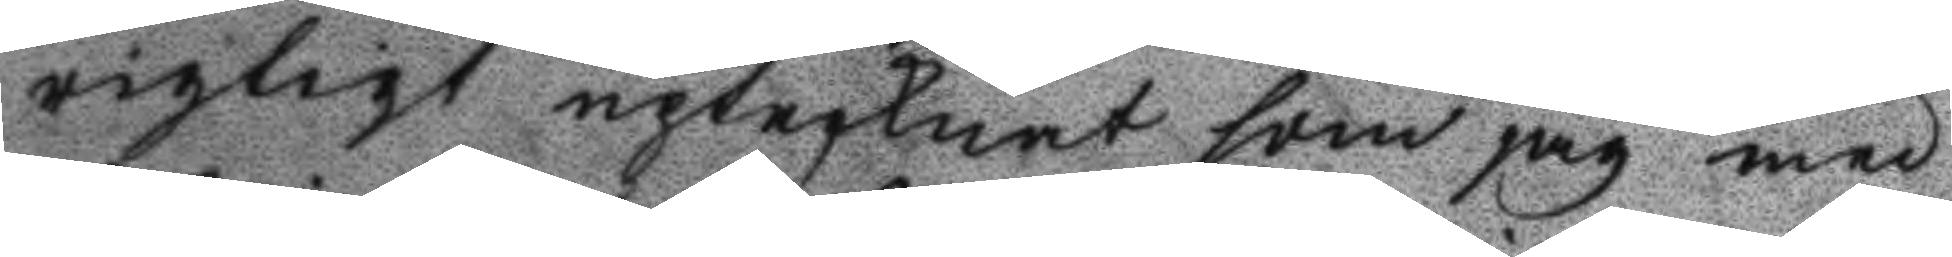rigtigt uptecknat som jag med
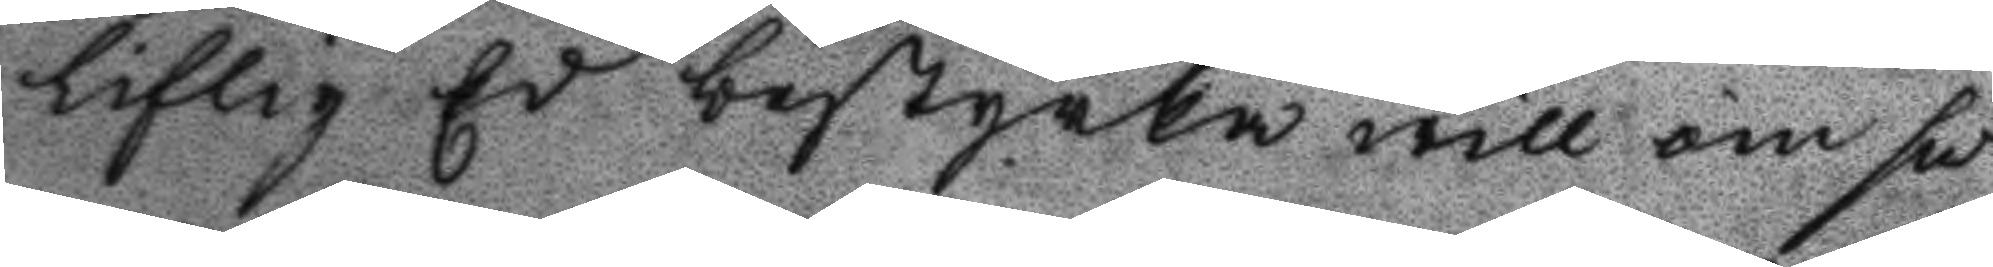liflig Ed bestyrka will om så
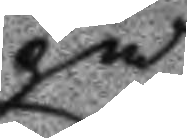på
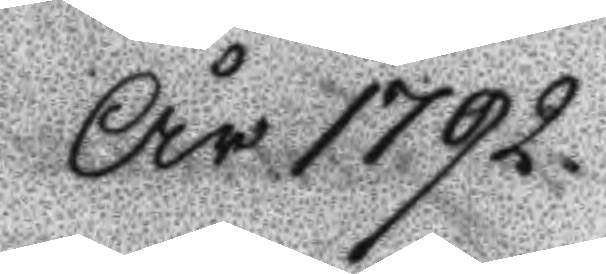År 1792
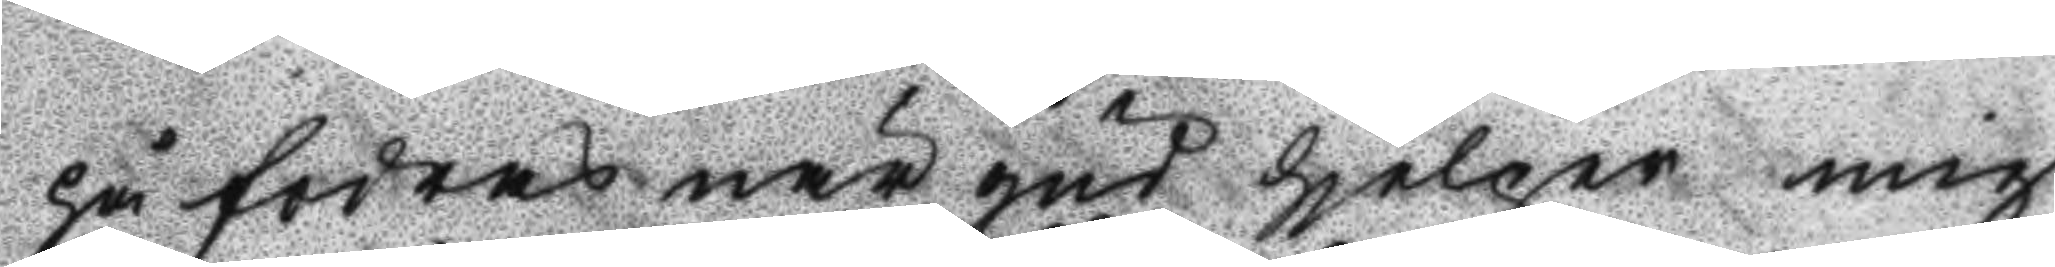på fodras när gud hjeloer mig
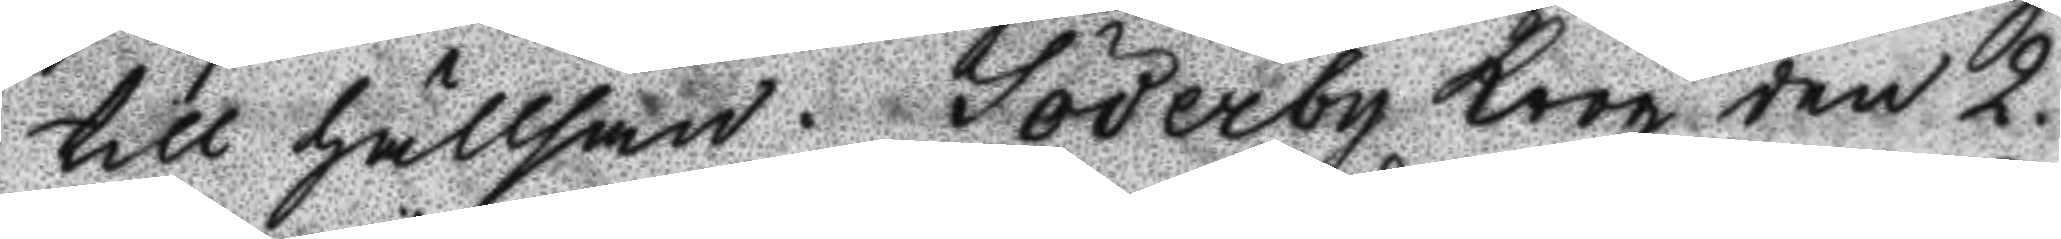till hällsan. Söderby krog den 2.
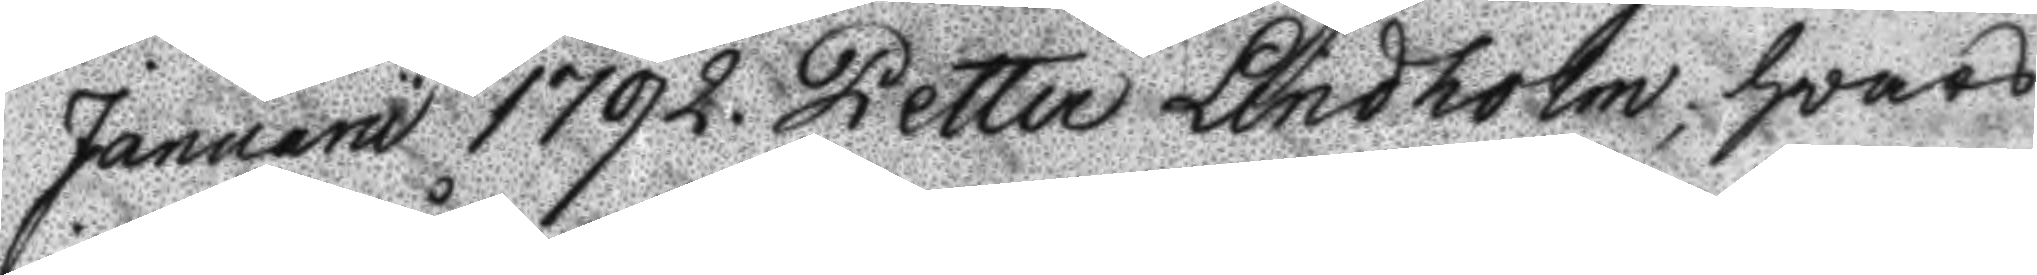Januarii 1792. Petter Lindholm, hwars
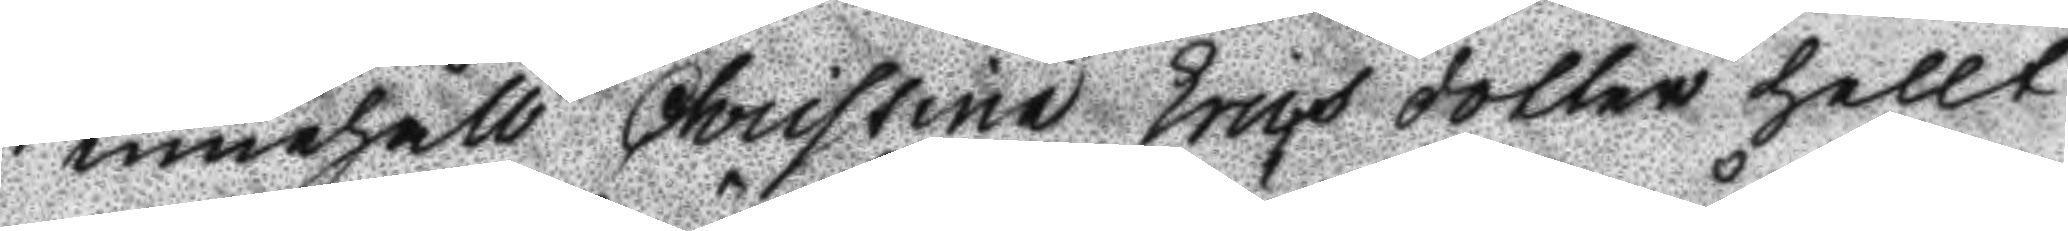innehåll Christina Erics dotter hellt
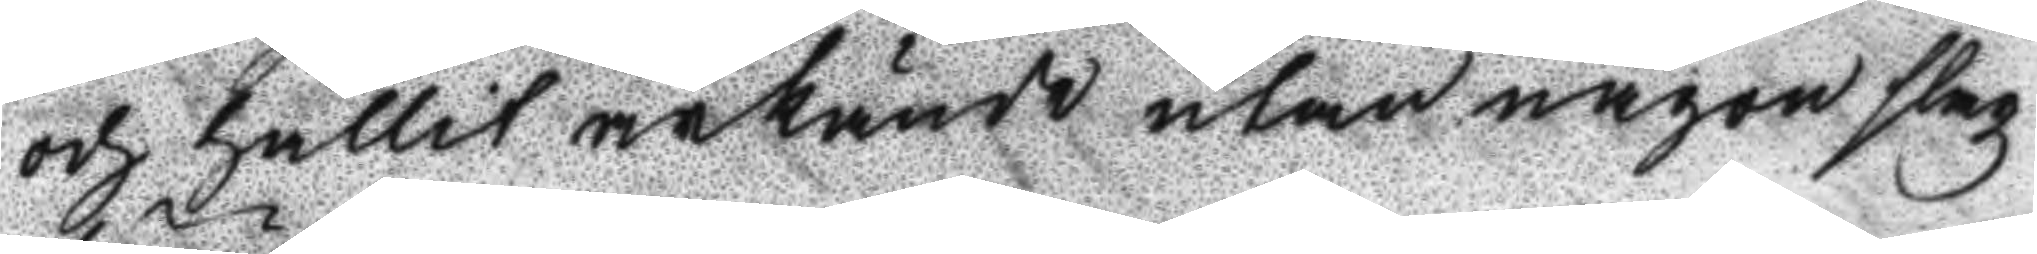och hållit ärkände utan någon slagz
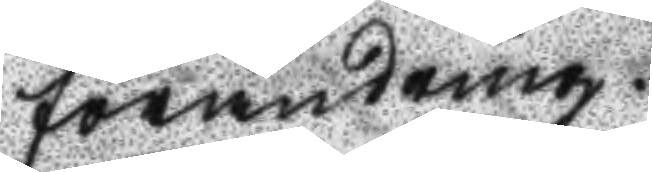förändring.
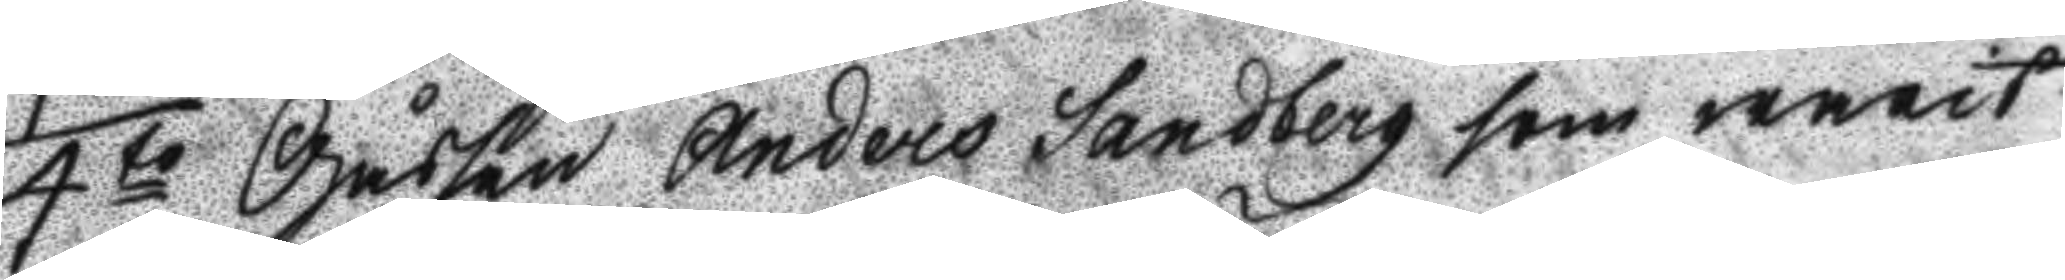4to Gåssen Anders Sandberg som warit
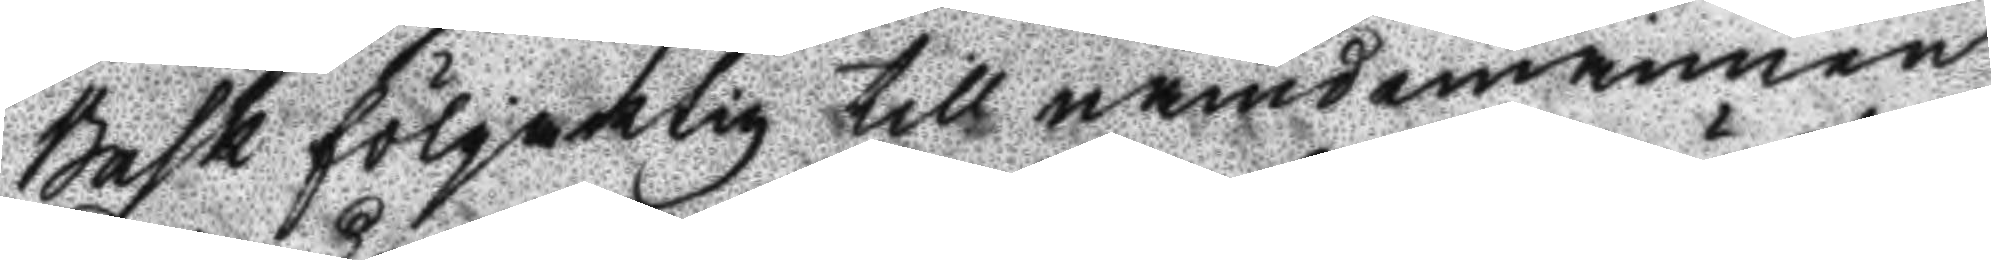Bask fölgaktig till nämdemannen
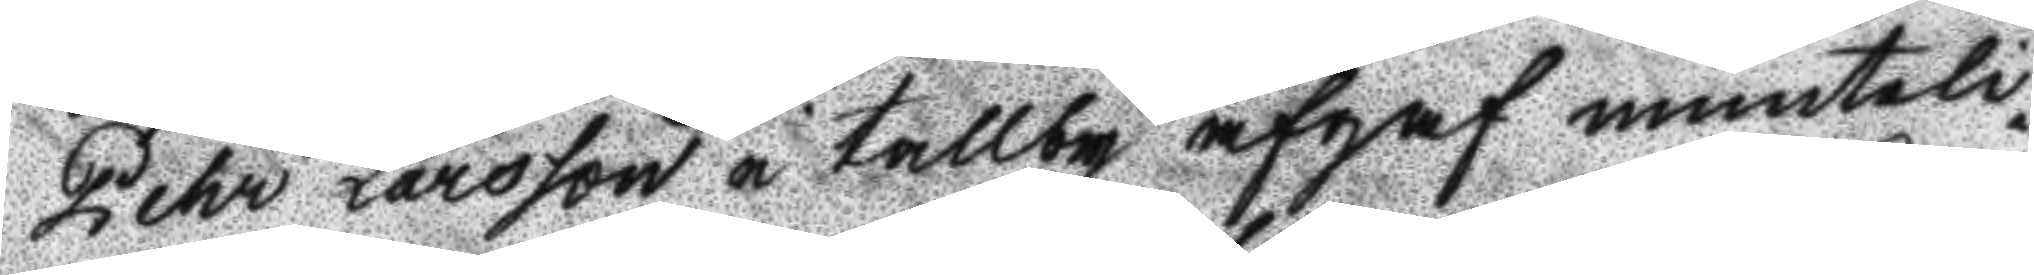Pehr larsson i tallby afgaf munteli¬
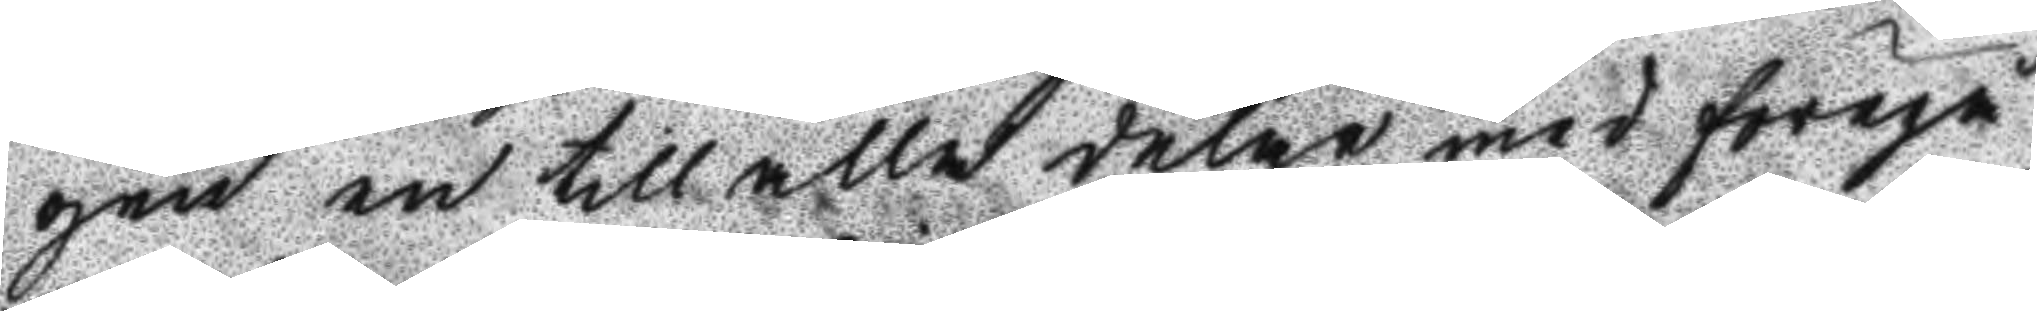gen en till alla delar med föregå¬
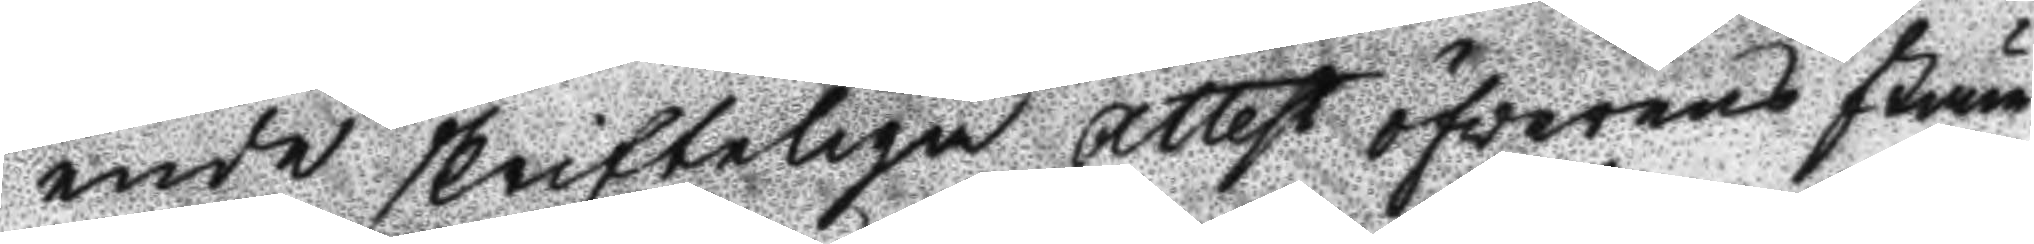ende skrifteliga Attest öfwerens stäm¬
